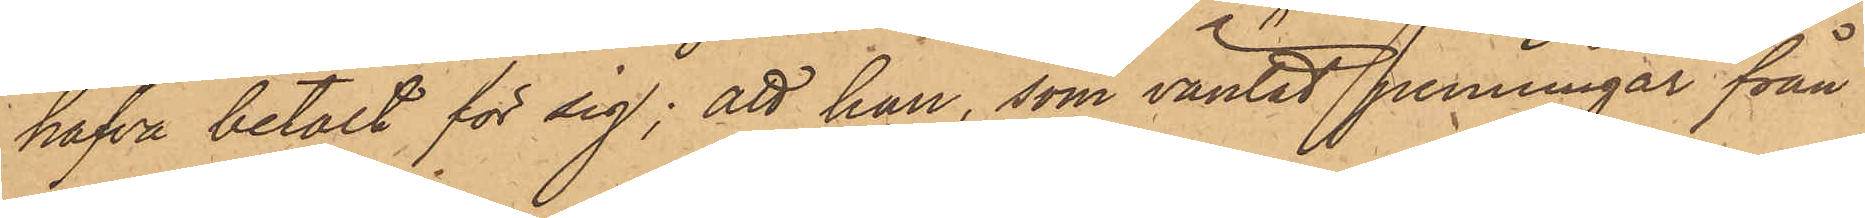hafva betalt för sig; att han, som väntat penningar från
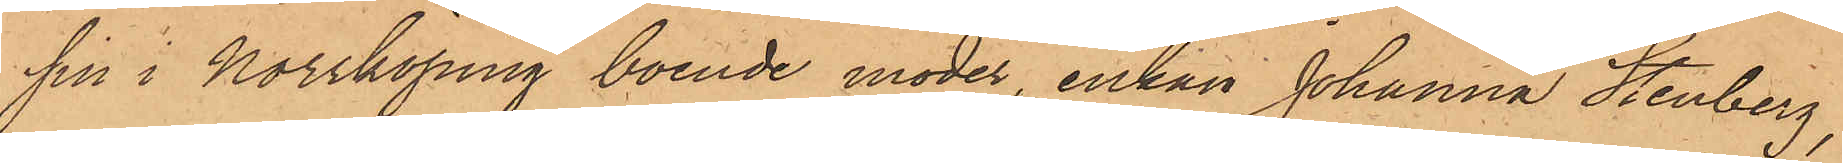sin i Norrköping, boende moder, enkan Johanna Stenberg,
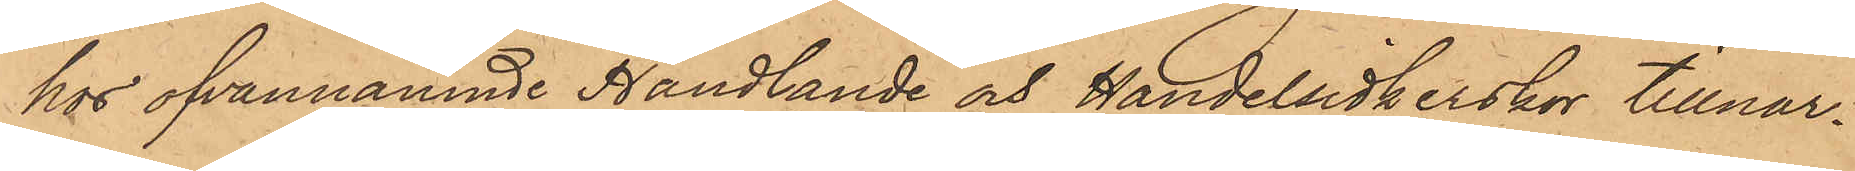hos ofvannämnde Handlande och Handelsidkerskor tillnar¬
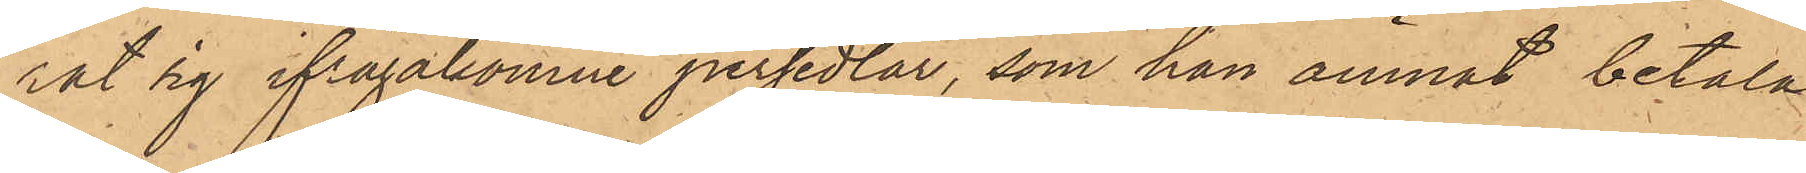rat sig ifrågakomne persedlar, som han ämnat betala
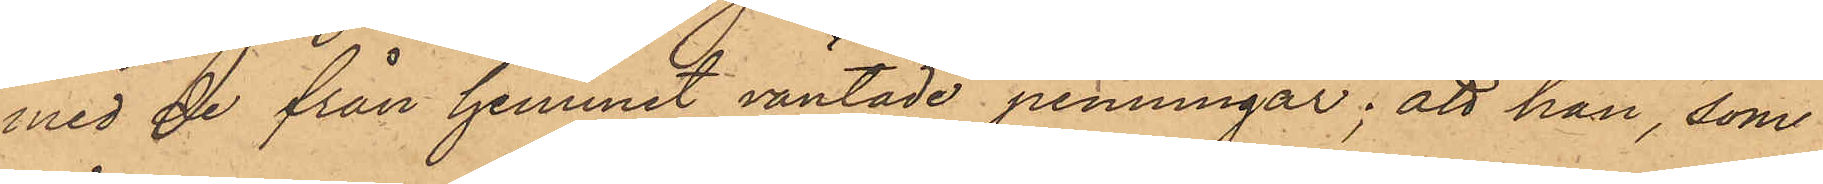med de från hemmet väntade penningar; att han, som
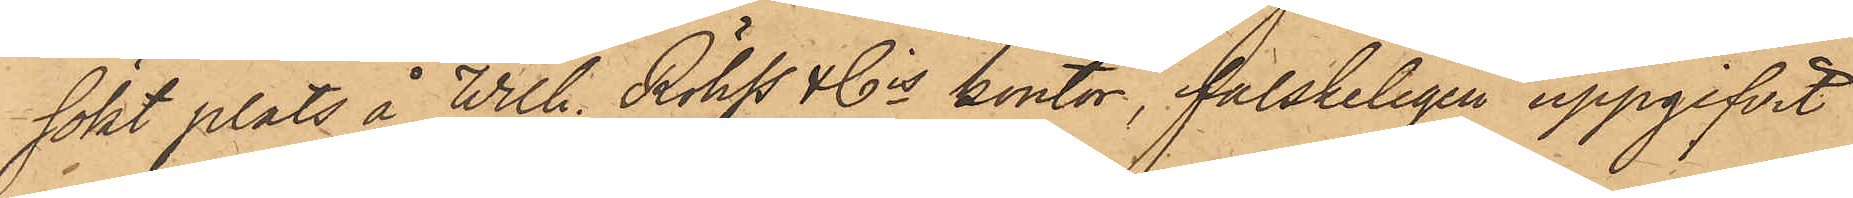sökt plats å Wilh. Röhss & Cos kontor, falskeligen uppgifvit
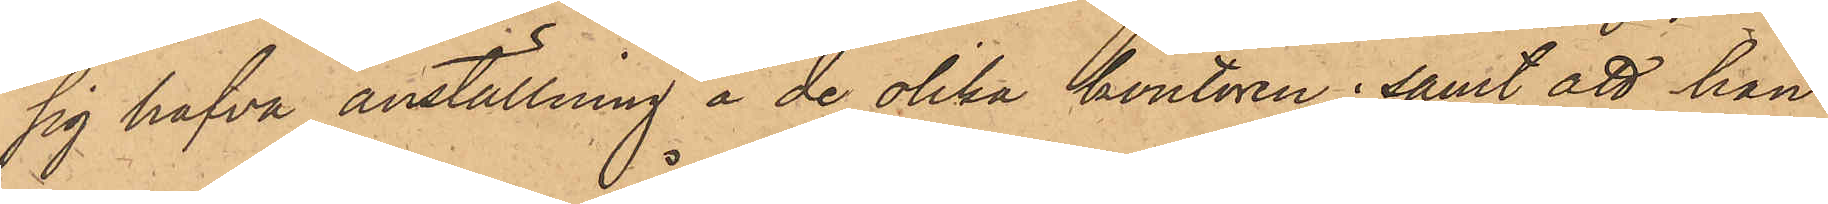sig hafva anställning å de olika kontoren; samt att han
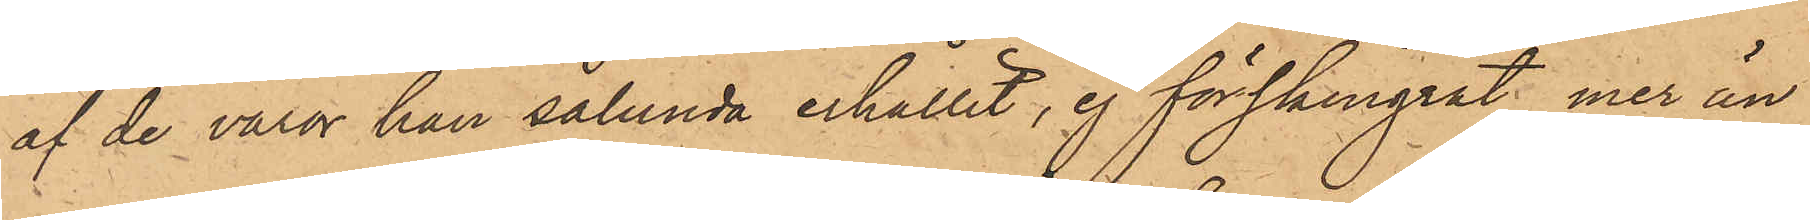af de varor han sålunda erhållit, ej förskingrat, mer än¬
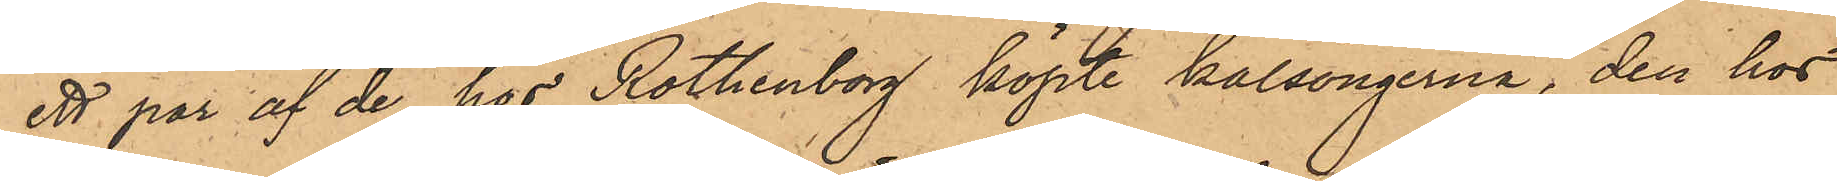ett par af de hos Rothenberg köpte kalsongerna, den hos
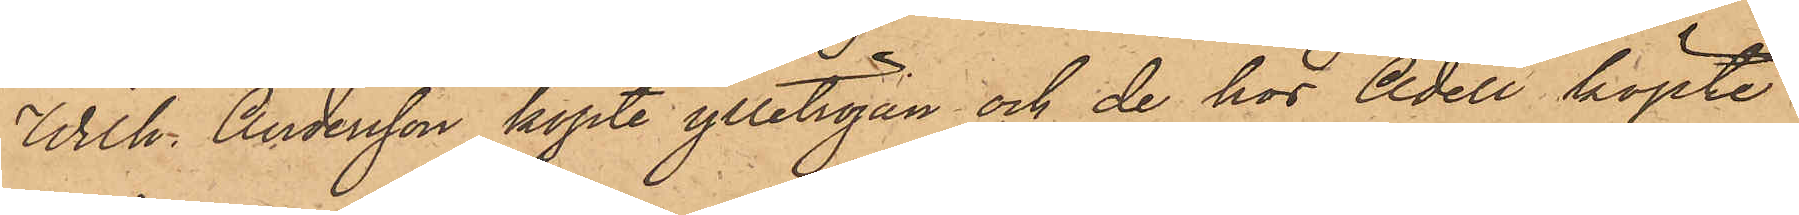Wilh. Andersson köpte ylletröjan och de hos Adell köpte
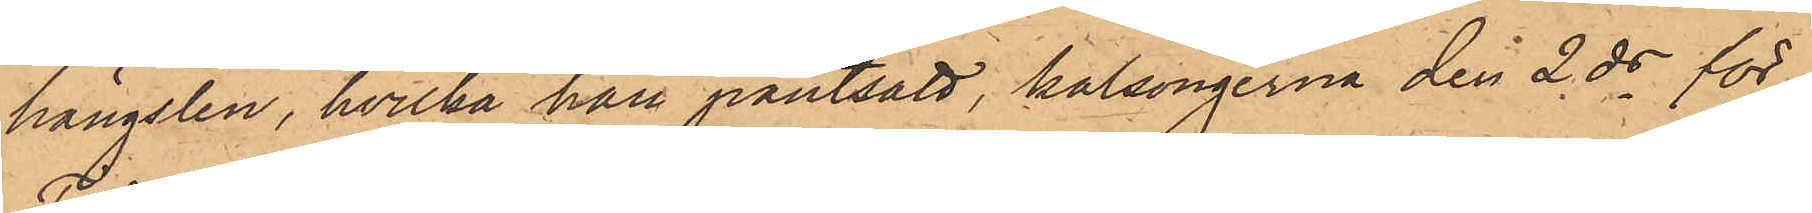hängslen, hvilka han pantsatt, kalsongerna den 2 ds för
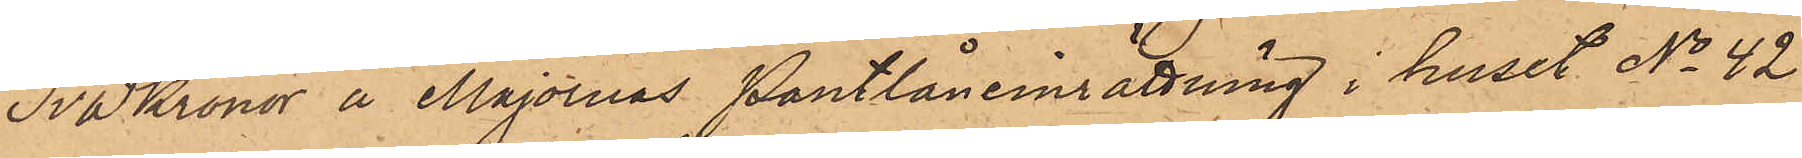Två kronor å Majornas Pantlåneinrättning i huset No 42
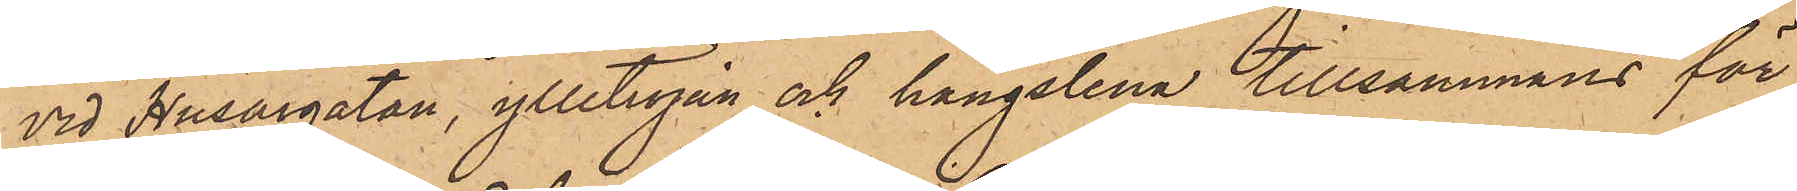vid Husargatan, ylletröjan och hängslena tillsammans för
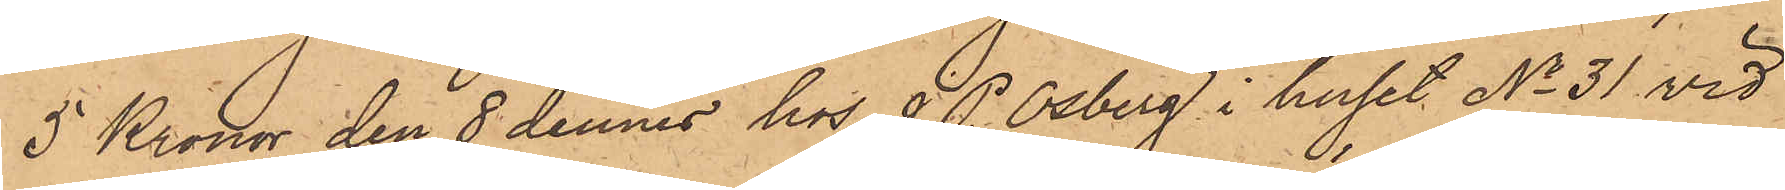5 Kronor den 8 dennes hos J. P. Osberg i huset No 31 vid
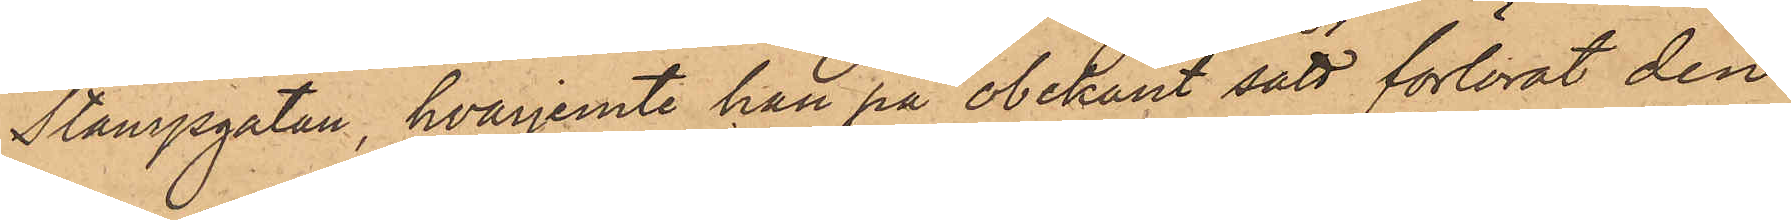Stampgatan, hvarjemte han på obekant sätt förlorat den
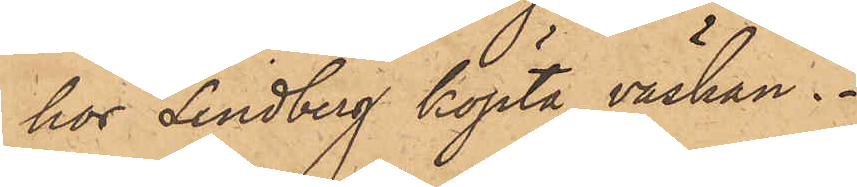hos Lindberg köpta väskan.
